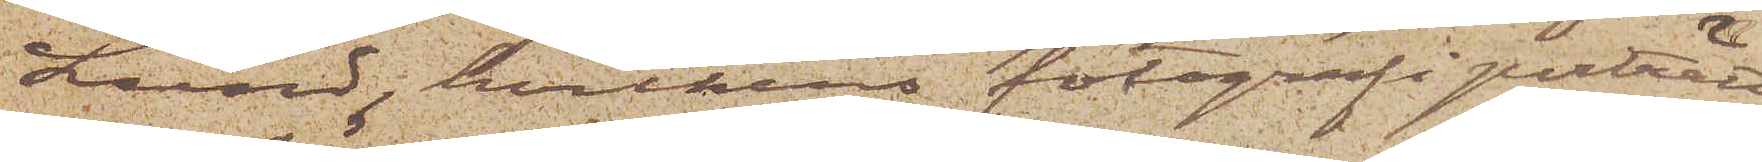Lund, hvilkens fotografiporträtt
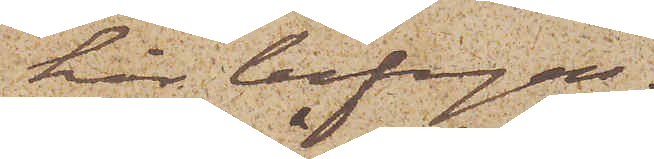här bifogas.
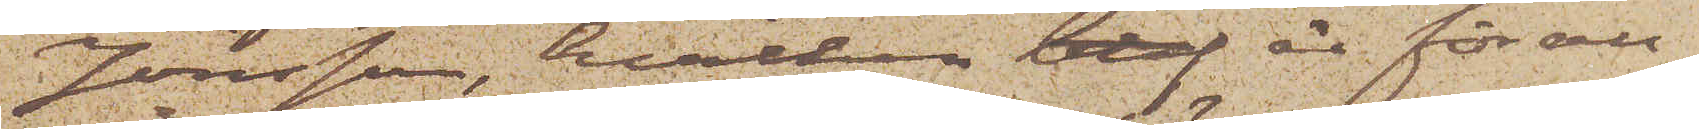Jönsson, hvilken blef är för all¬
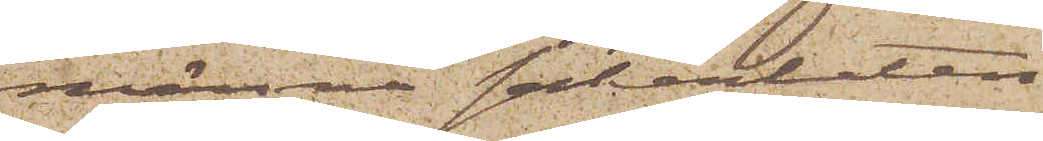männa säkerheten
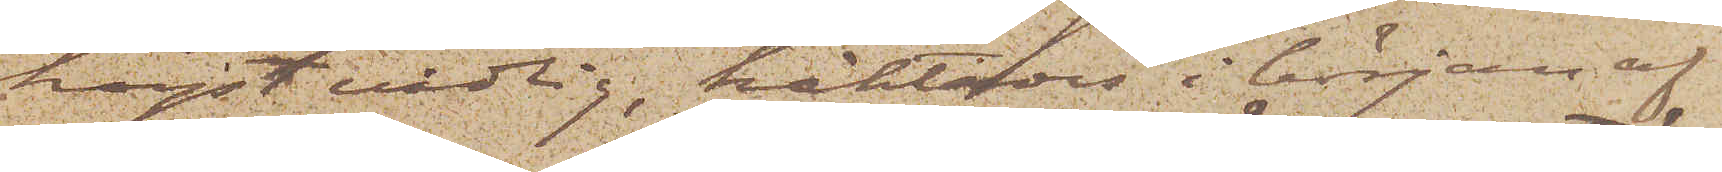högst vådlig, häktades i början af
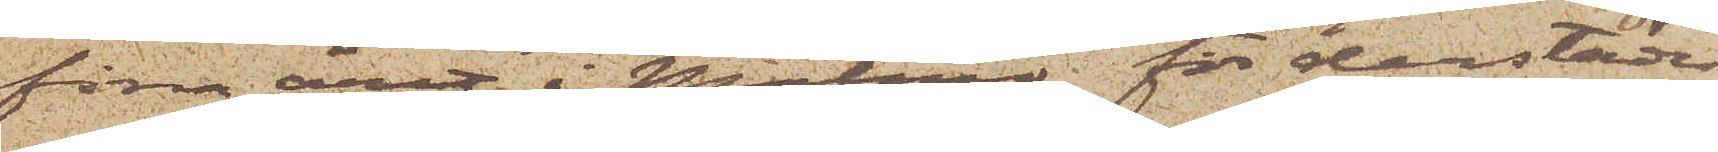förra året i Malmö för derstädes
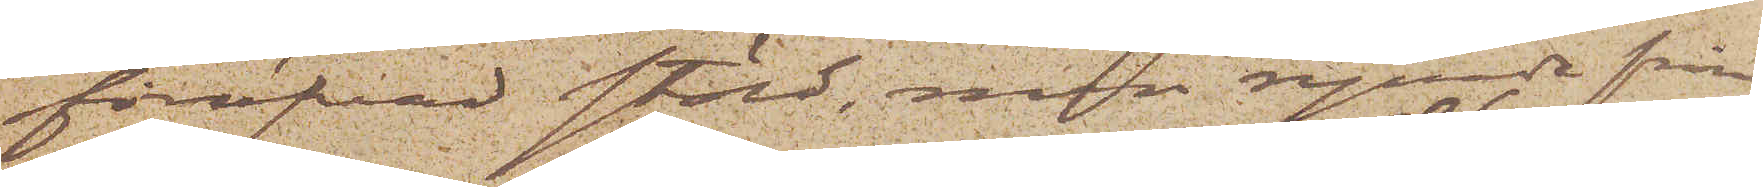föröfvad stöld, men rymde från
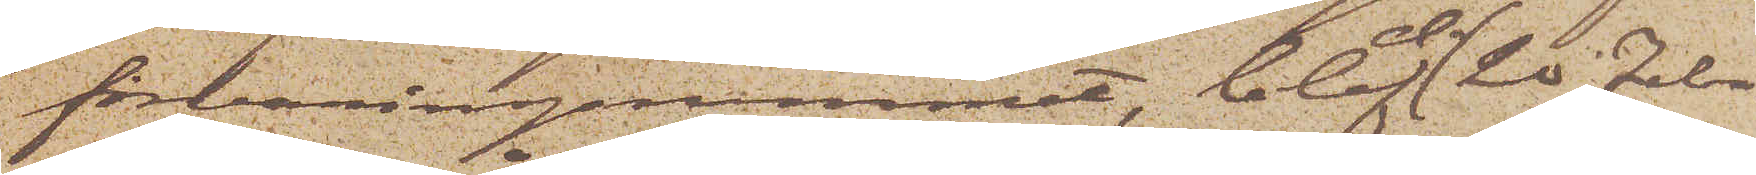förvaringsrummet, blef d. 20 Febr.
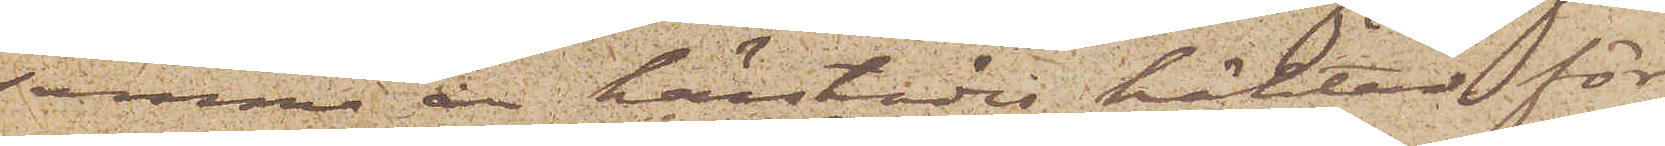samma år härstädes häktad för
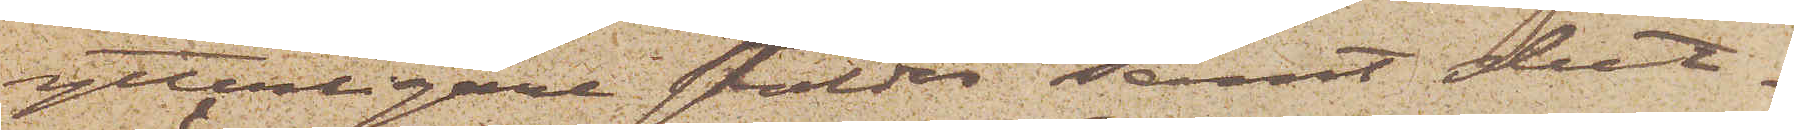ytterligare stölder samt slut¬
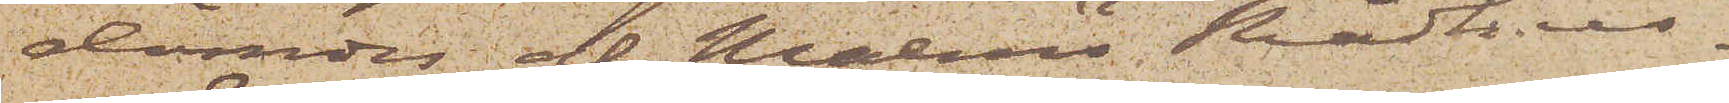dömdes af Malmö Rådhus¬
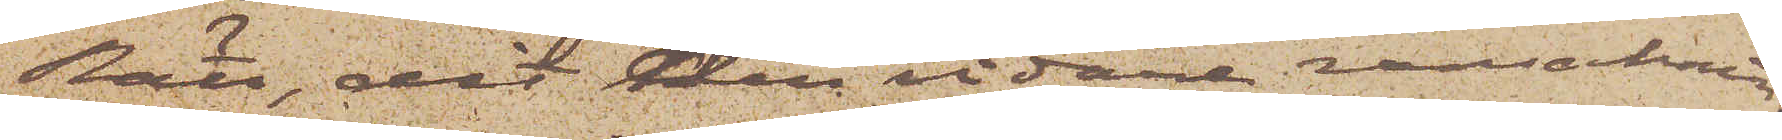Rätt, dit den vidare ransaknin¬
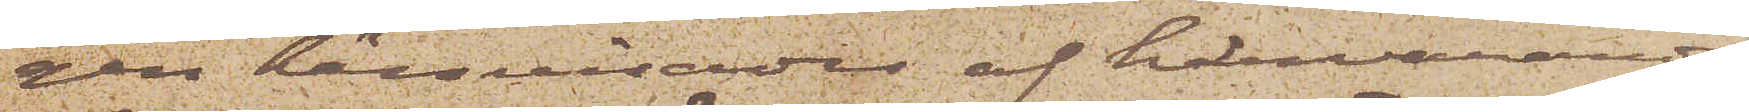gen hänvisades af härvarande
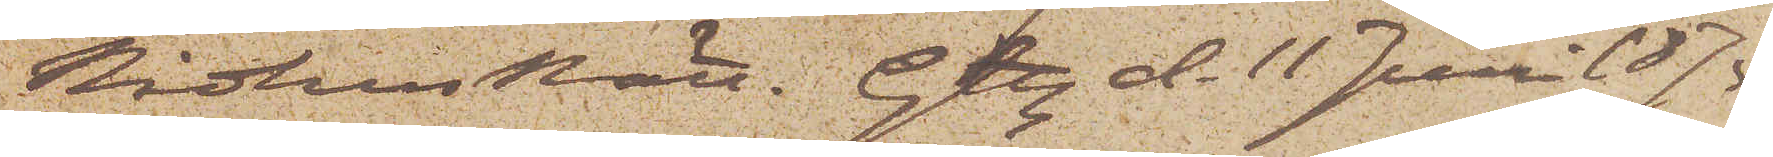Rådhusrätt. Gtbg d. 11 Juni 1875
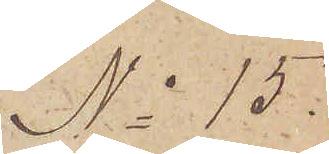No 15.
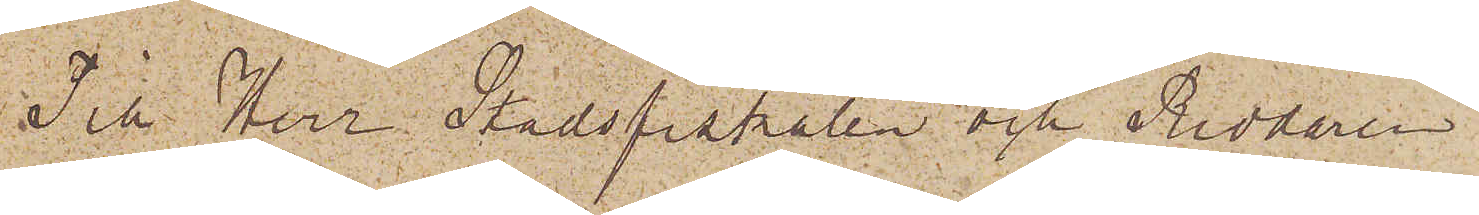Till Herr Stadsfiskalen och Riddaren
